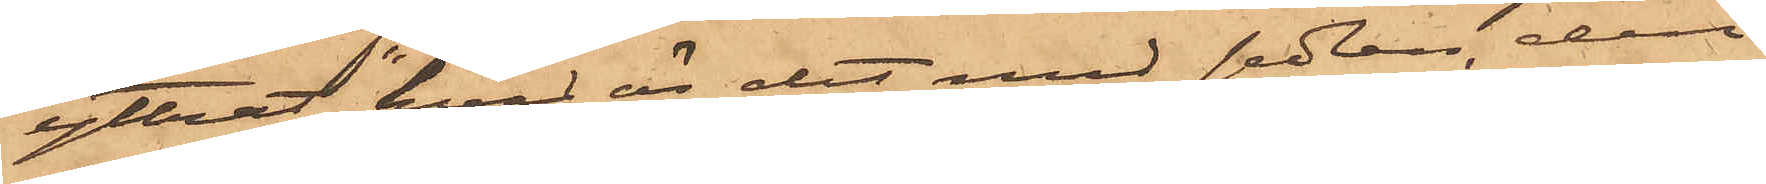yttrat "hvad är det med sedlen, den
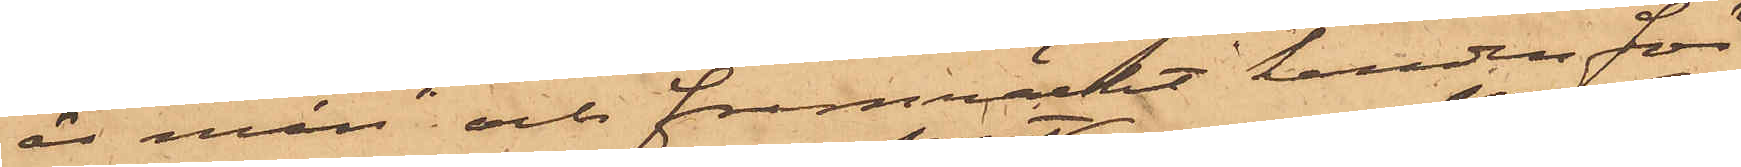är min" och framräckt handen för
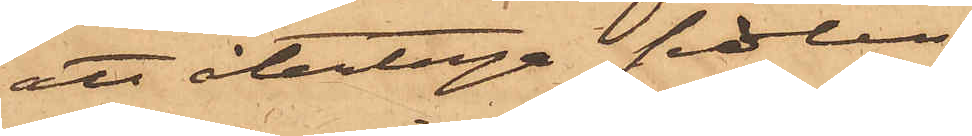att återtaga sedlen;
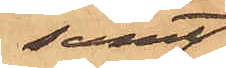samt
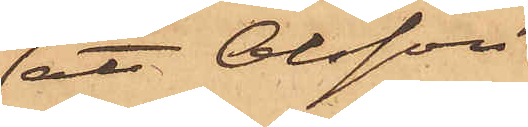att Olsson
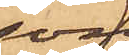som
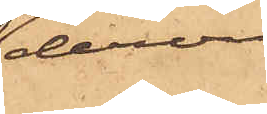dervid
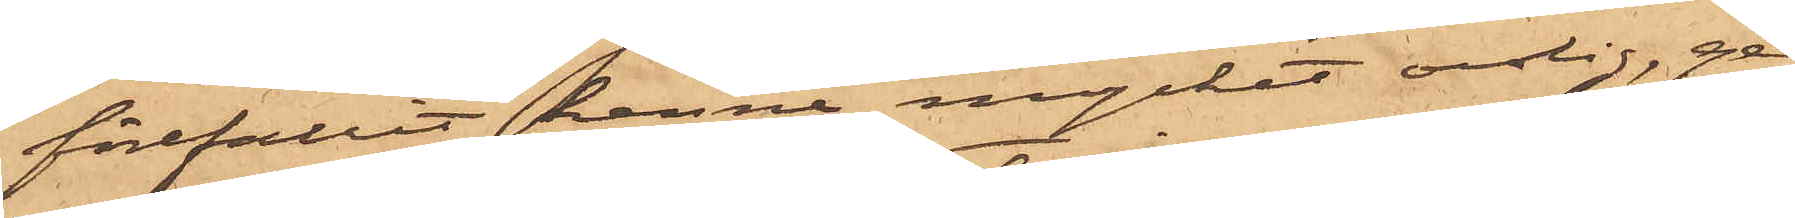förefallit henne mycket orolig, ge¬
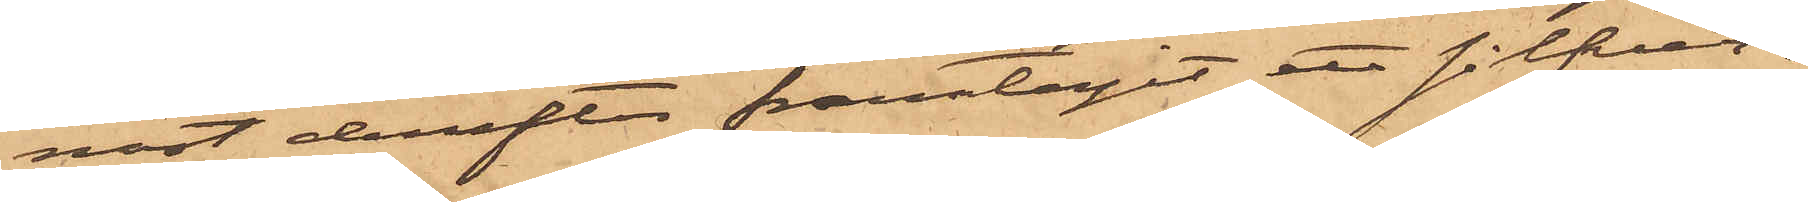nast derefter framtagit ett silfver¬
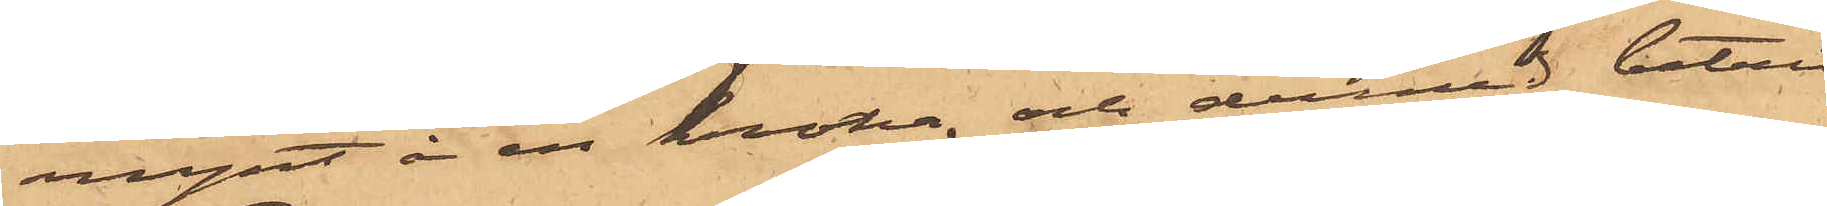mynt å en krona, och dermed betalt
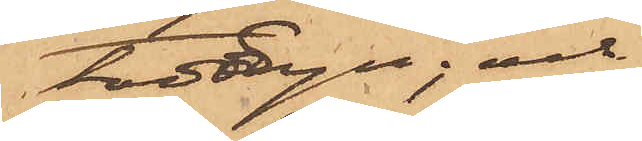toddyn; och
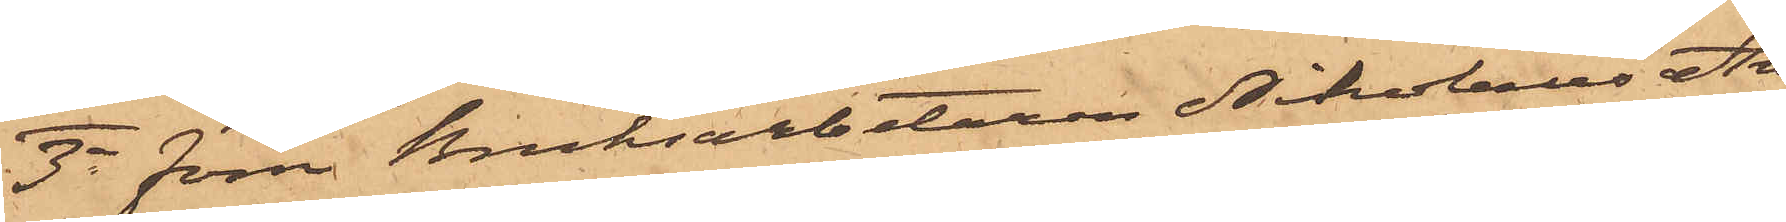3o förre Bruksarbetaren Nikolaus An¬
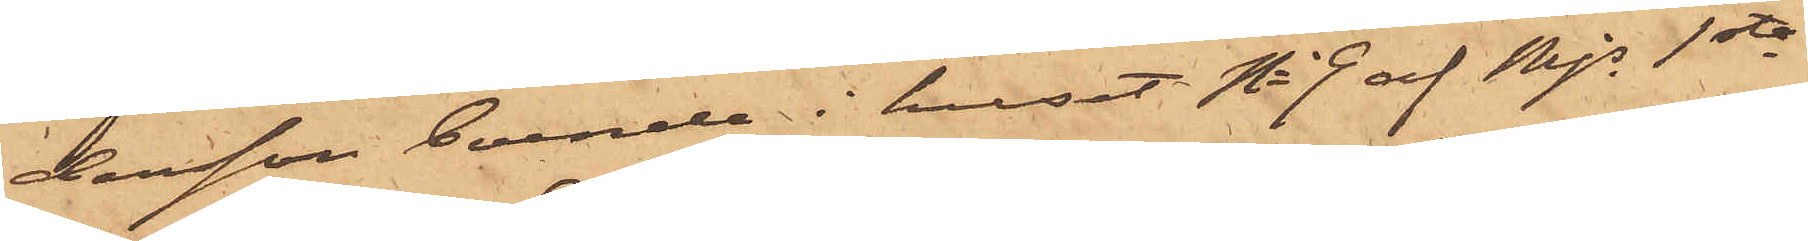dersson, boende i huset No 9 af Mjs 1sta
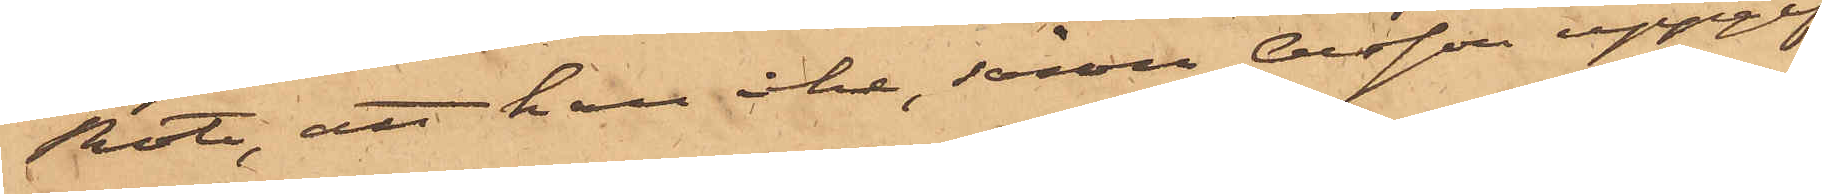Rote, att han icke, såsom Olsson uppgif¬
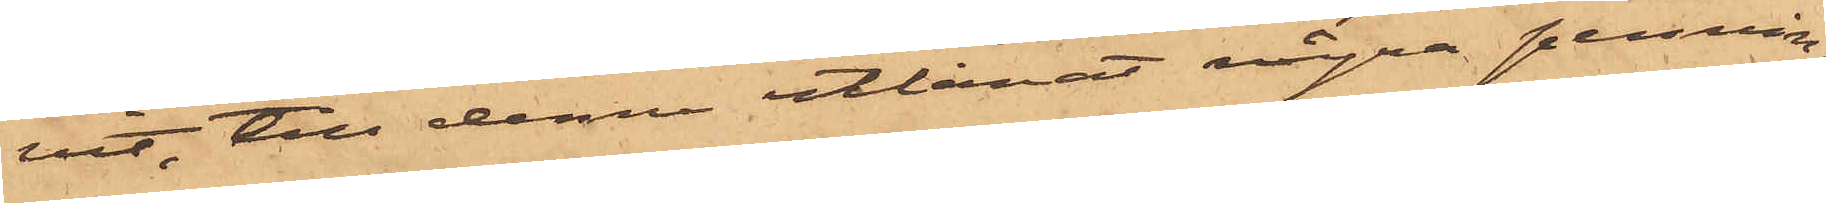vit, till denne utlånat några pennin¬
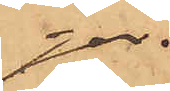gar.
